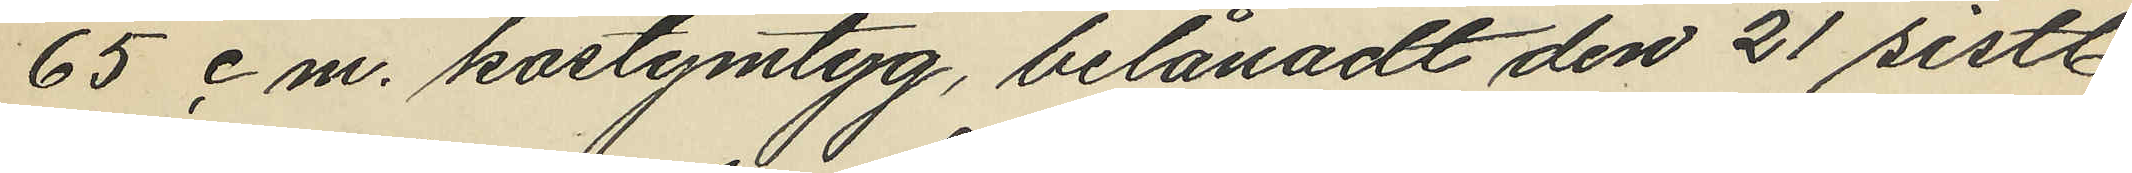65 cm. kostymtyg, belånadt den 21 sistl.
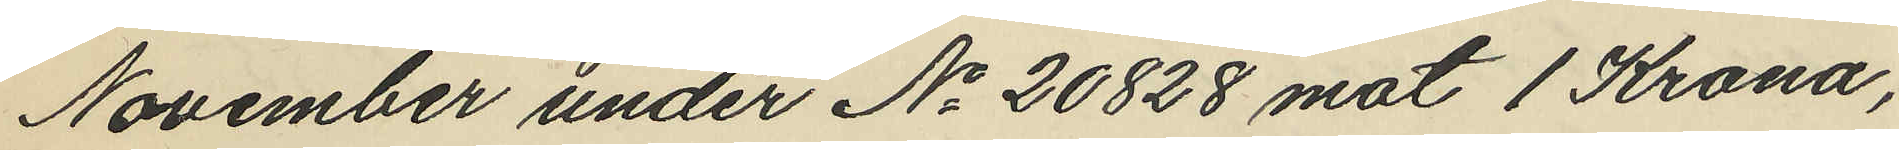November under No 20828 mot 1 Krona,
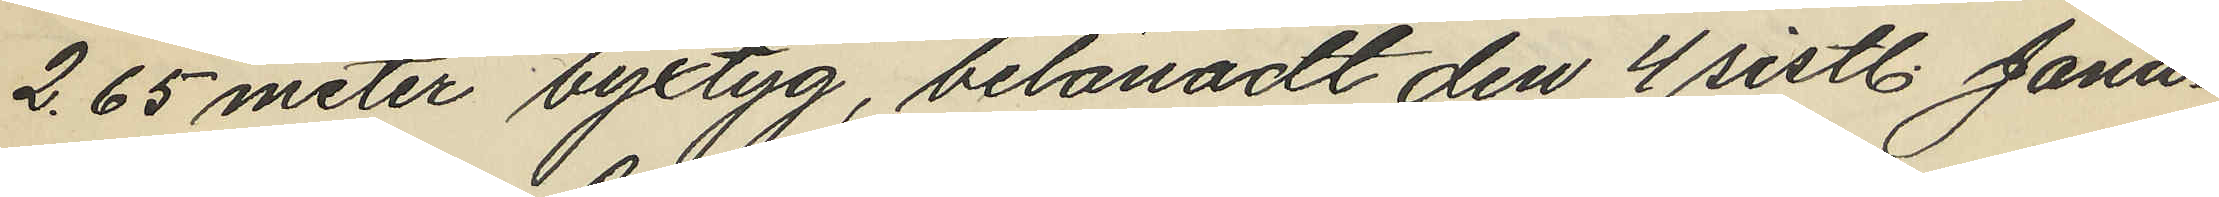2,65 meter byxtyg, belånadt den 4 sistl. Janu¬
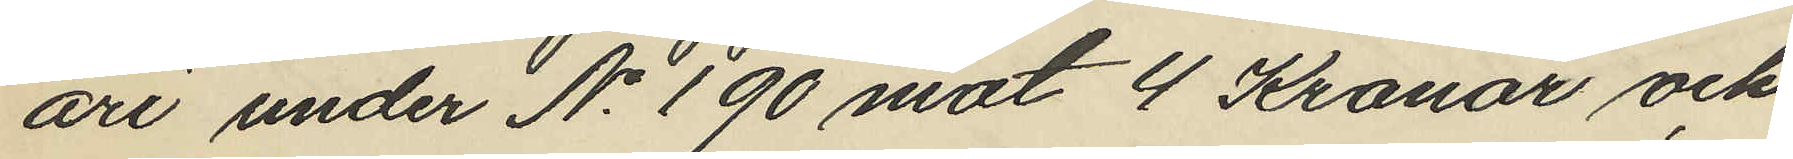ari under No 190 mot 4 Kronor och
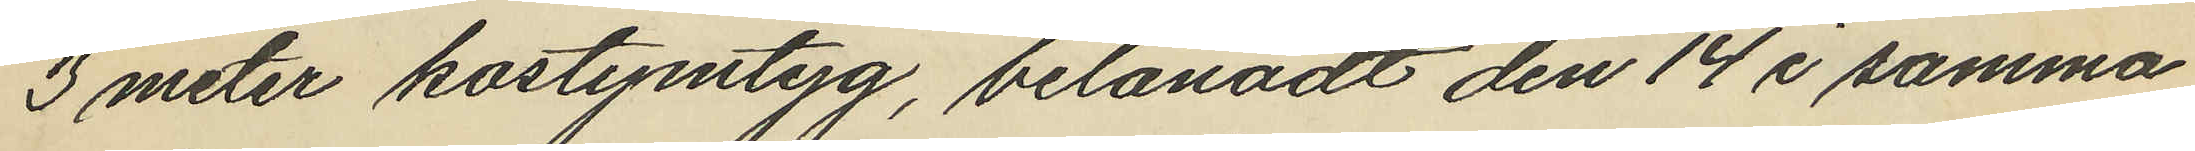3 meter kostymtyg, belånadt den 14 i samma
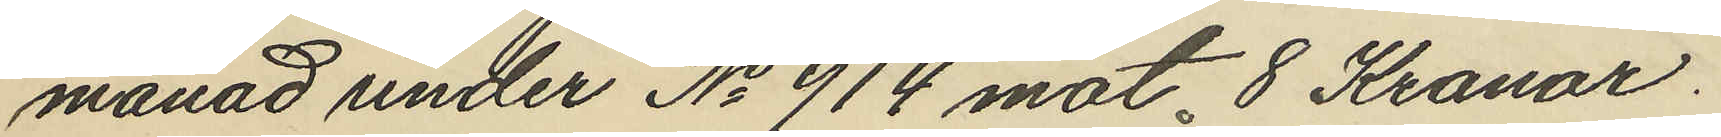månad under No 914 mot 8 Kronor.
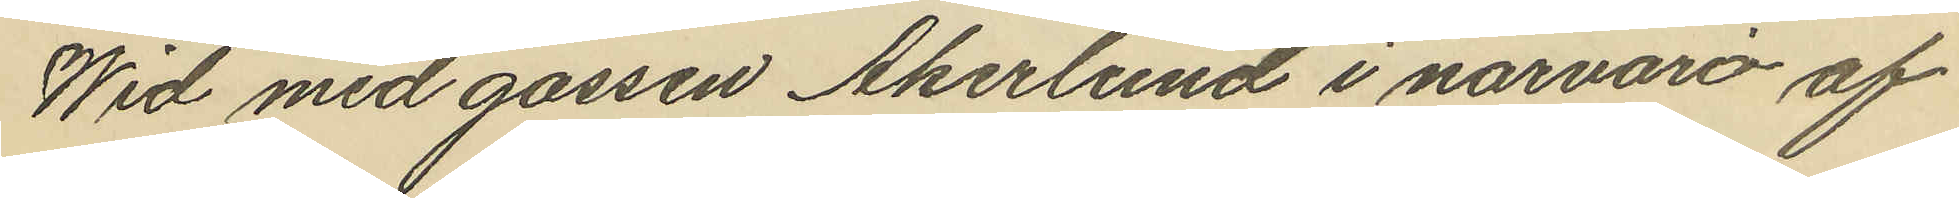Wid med gossen Åkerlund i närvaro af
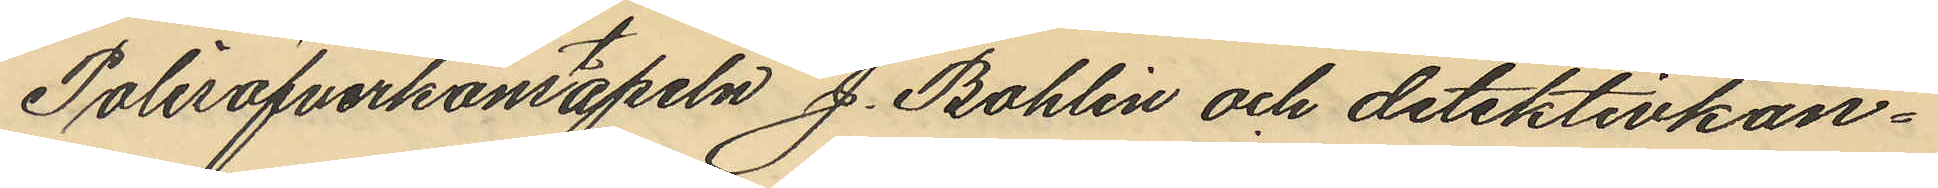Polisöfverkonstapeln J. Bohlin och detektivkon¬
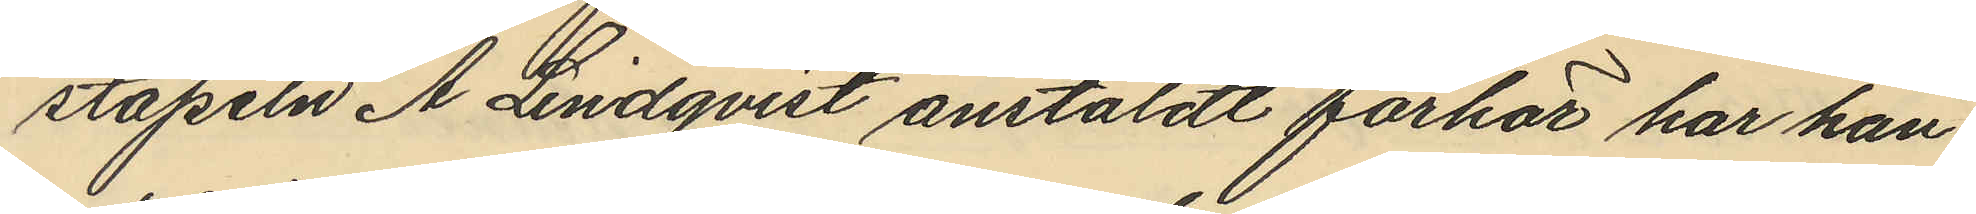stapeln A. Lindqvist anstäldt förhör har han
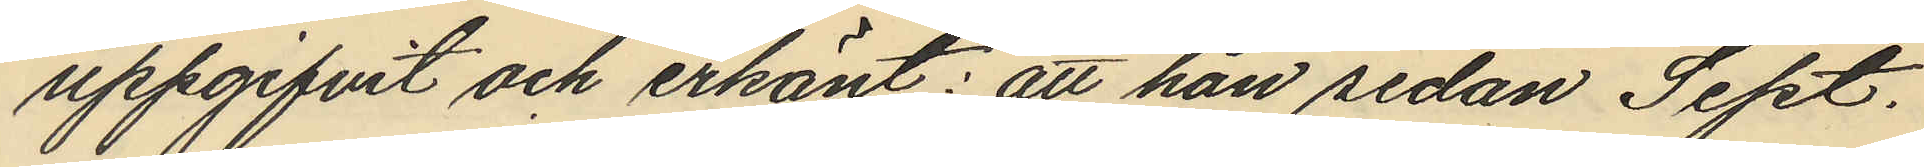uppgifvit och erkänt: att han sedan Sept.
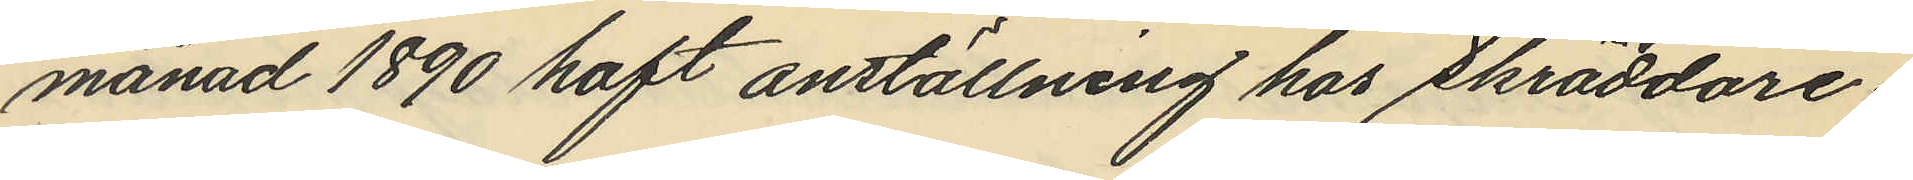månad 1890 haft anställning hos Skräddare¬
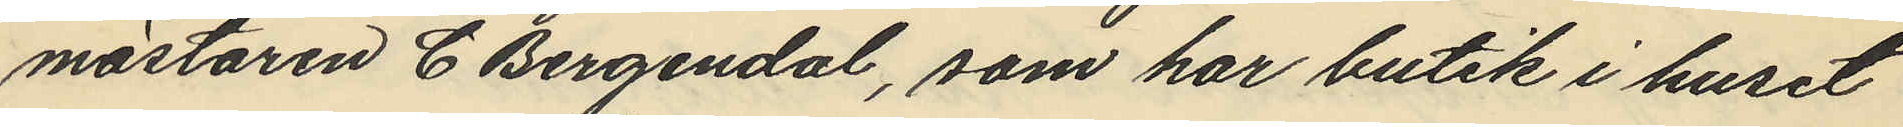mästaren C. Bergendal, som har butik i huset
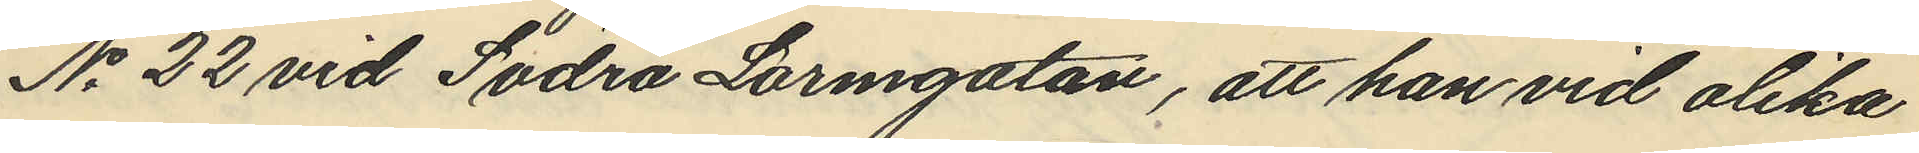No 22 vid Södra Larmgatan, att han vid olika
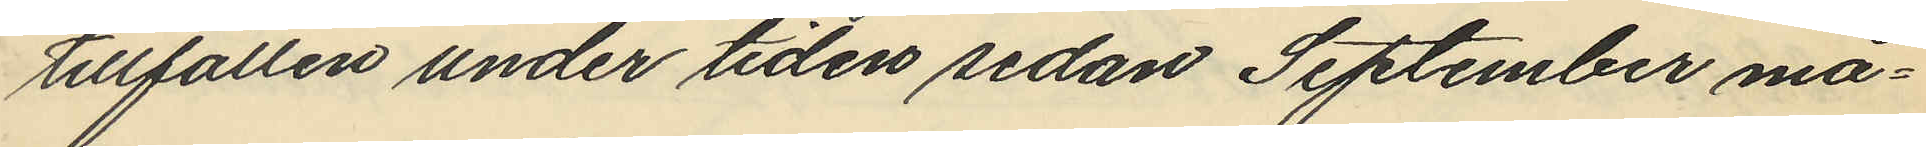tillfällen under tiden sedan September må¬
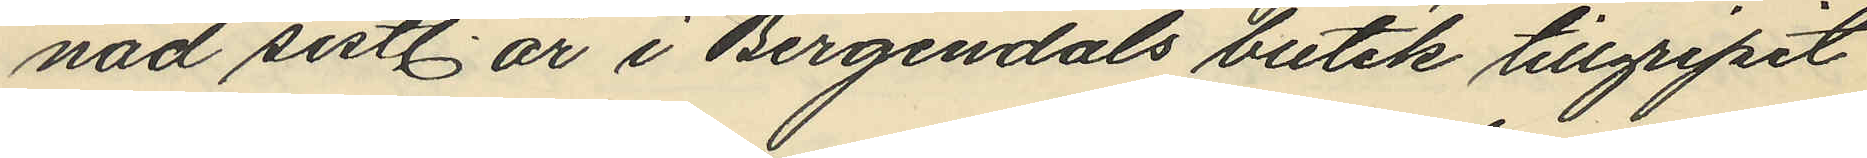nad sistl. år i Bergendals butik tillgripit
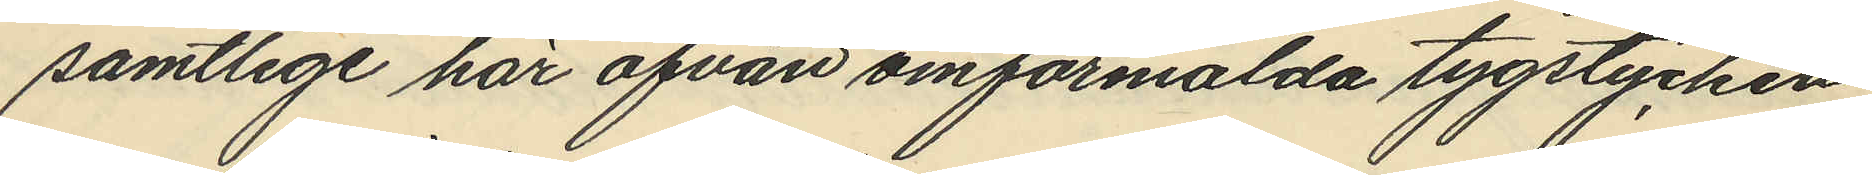samtlige här ofvan omförmälda tygstycken
